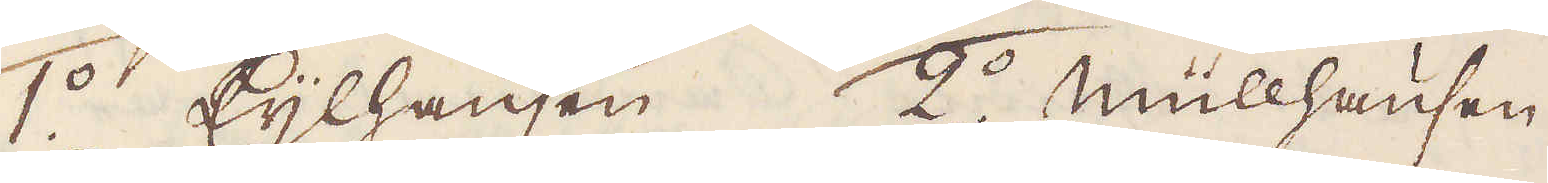1:o Cylhausen. 2:o müllhausen
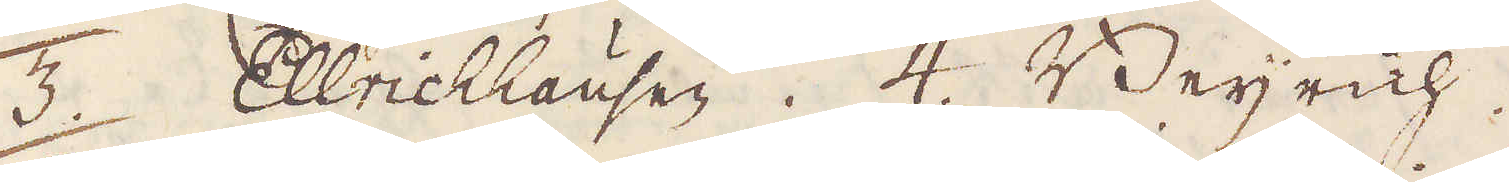3. Ellrichhausen. 4. Beyrich.
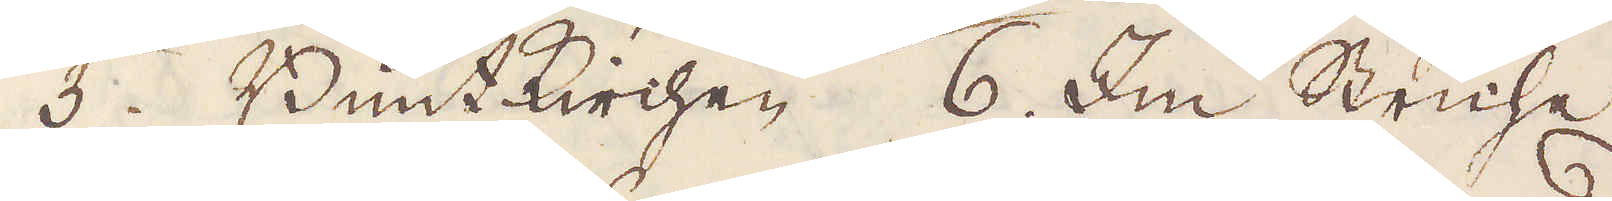5. Bunt Kichen. 6. Im Striche
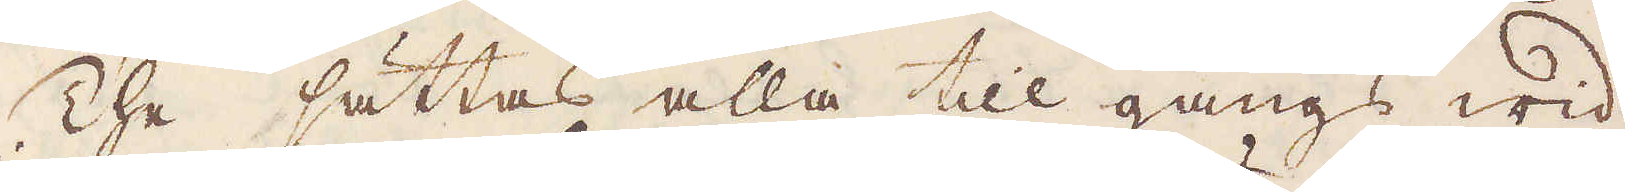The sättas alla till gångs wid
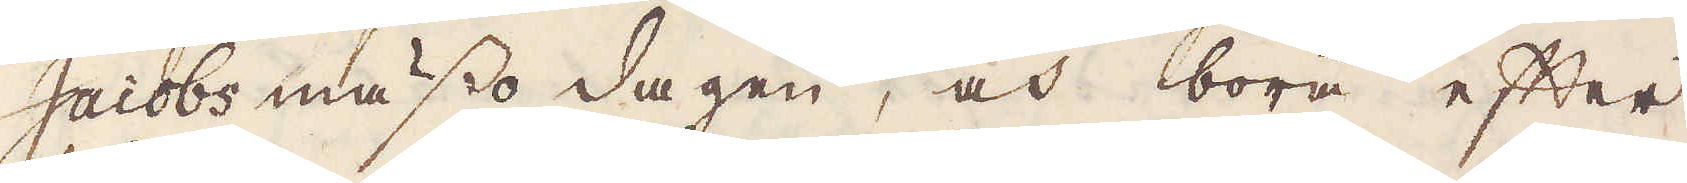Jacobs mässo dagen, och böra efter
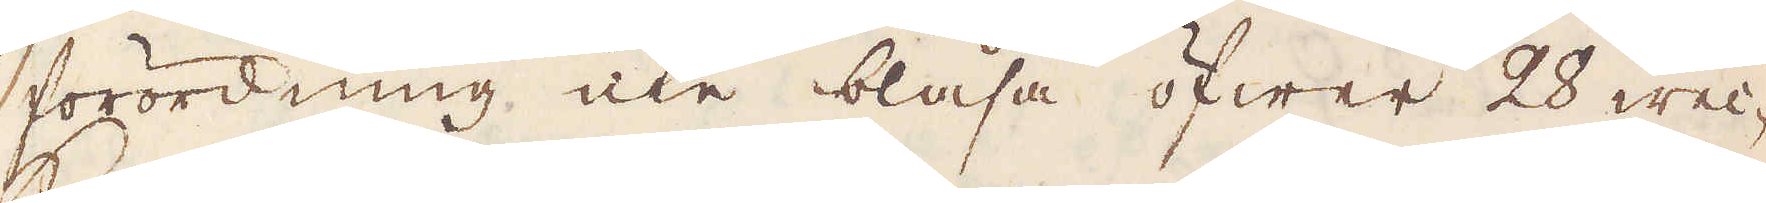förordning icke blåsa öfwer 28 wec-
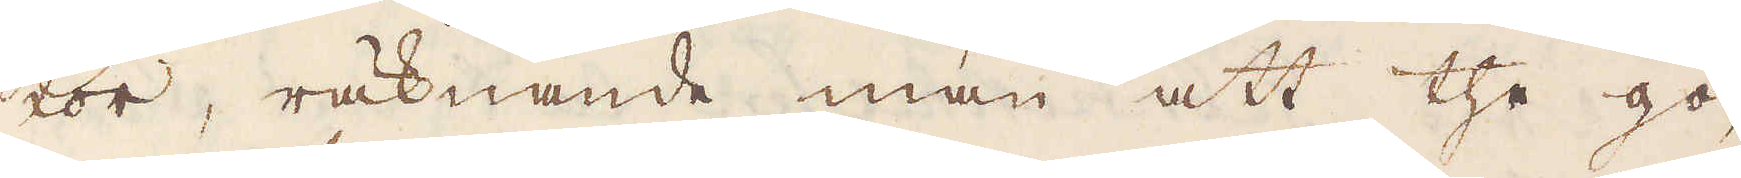kor, räknande man att the gö-
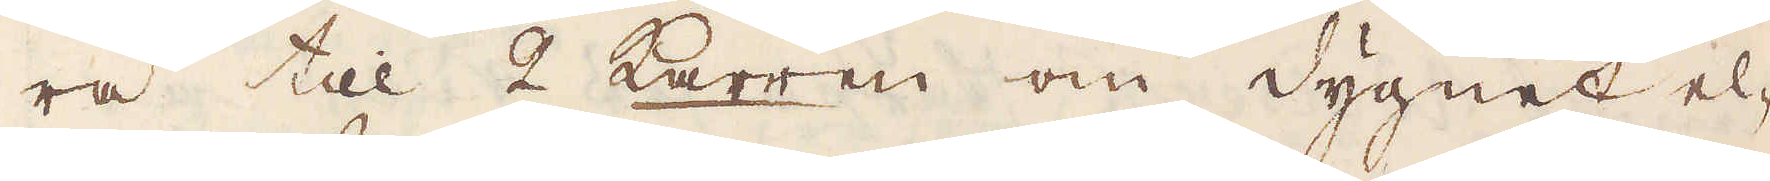ra till 2 Karren om dygnet el-
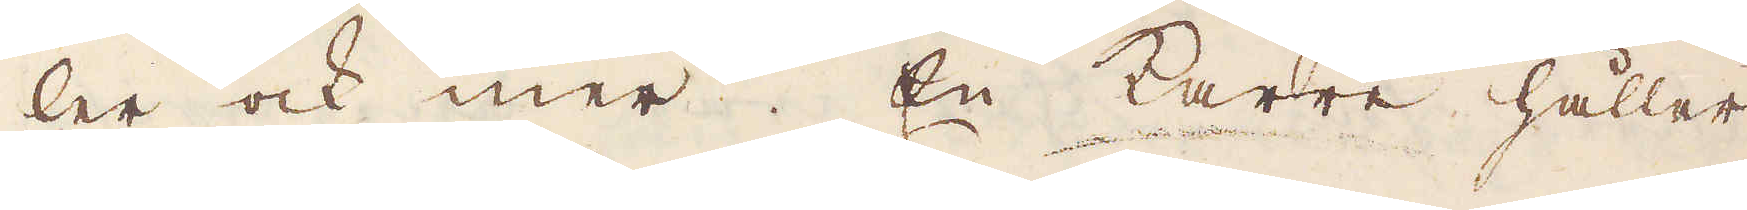ler ock mer. En Karre håller
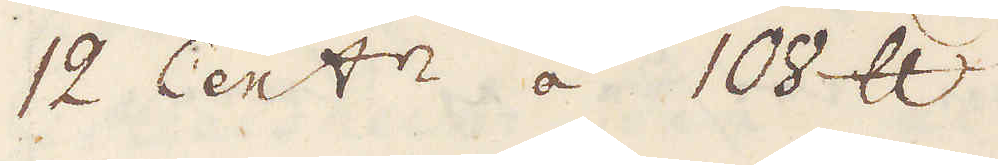12 Cent:r á 108 skålpund.
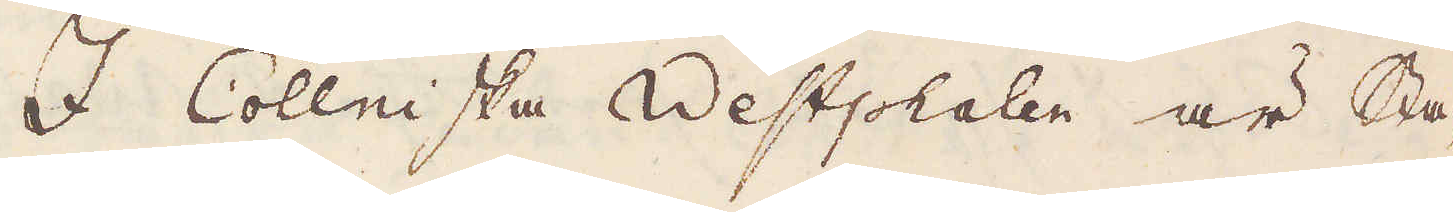I Cöllniska Westsphalen är Sta-
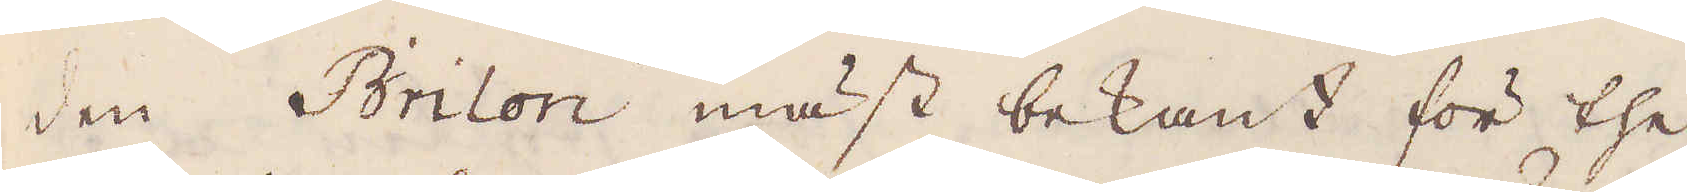den Brilon mäst bekant för the
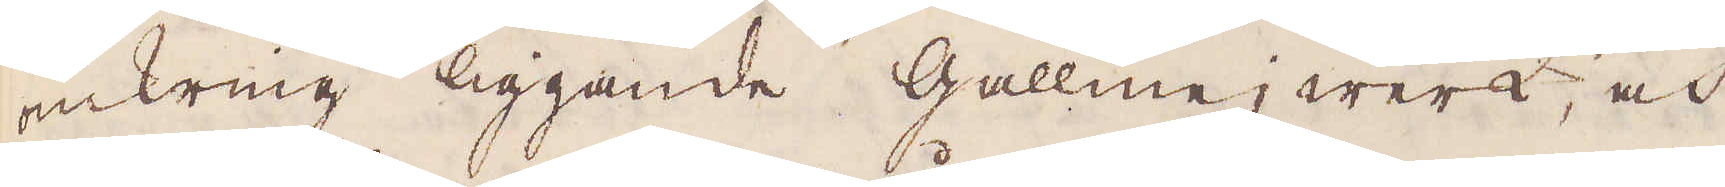omkring liggande Gallmejwerk, och
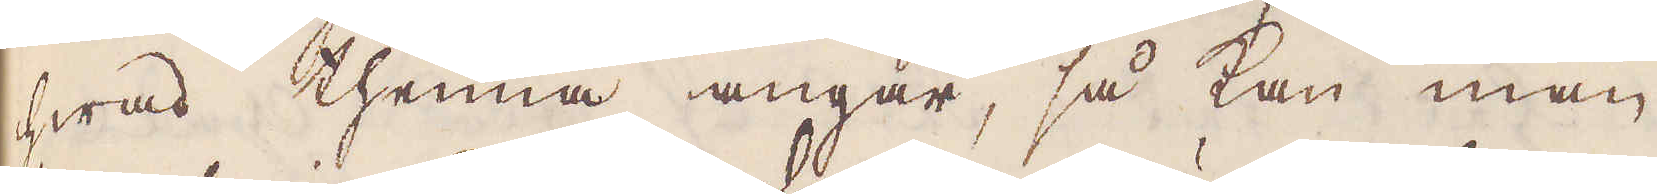hwad thenna angår, så kan man
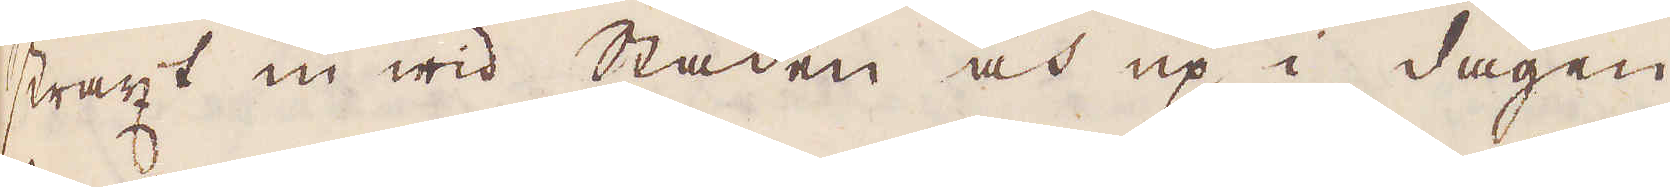straxt en wid Staden och up i dagen
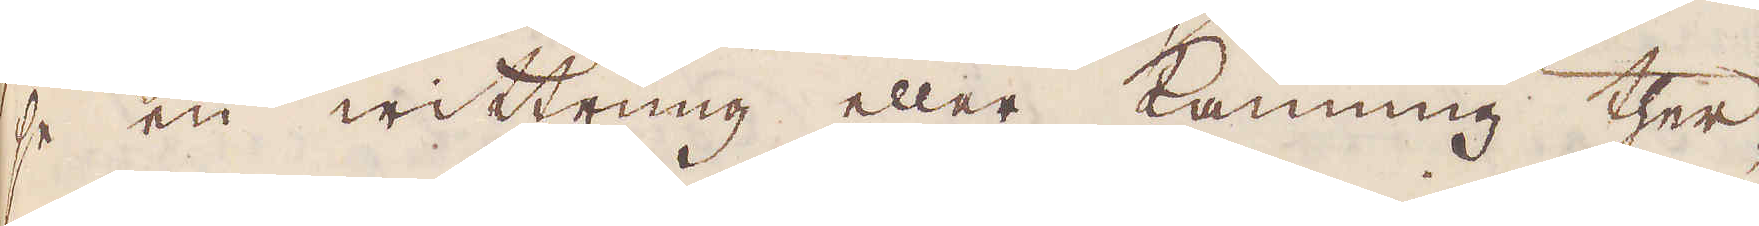se en wittring eller känning ther-
